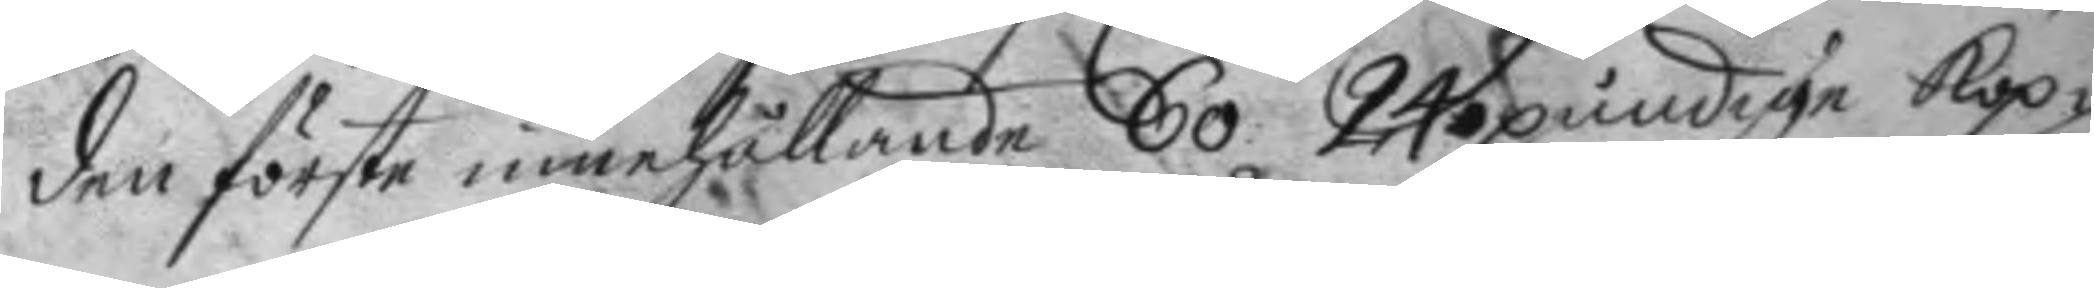den förste innehållande 60 24 pundige kop¬
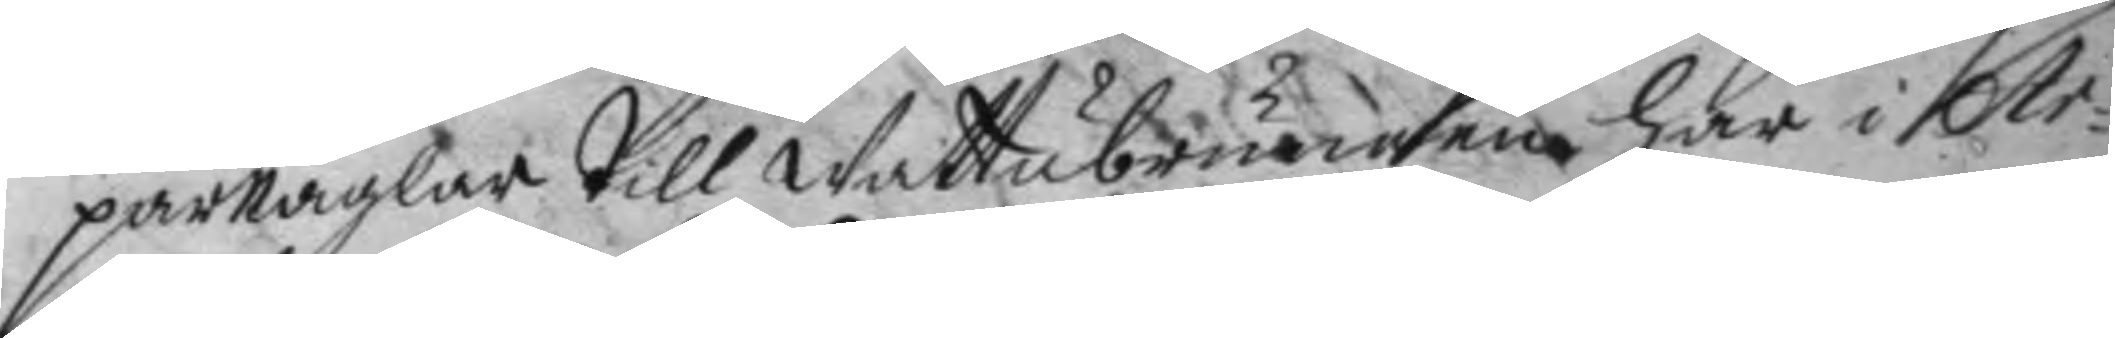parnaglar till Wattubrunnen här i Ar¬
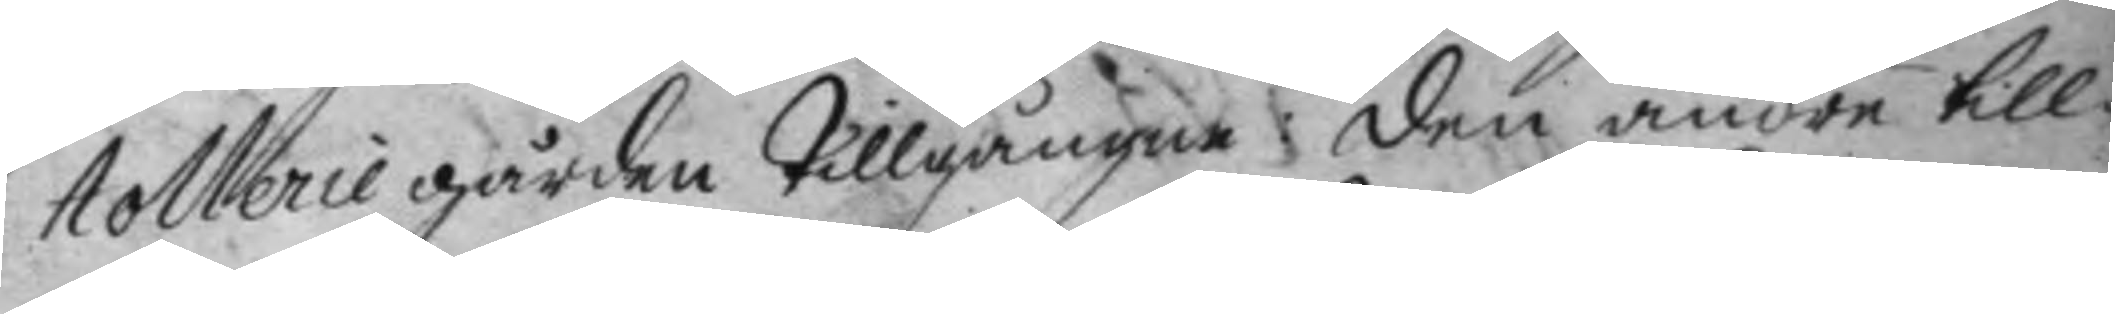tollerie gården Tillgången: den andra till¬
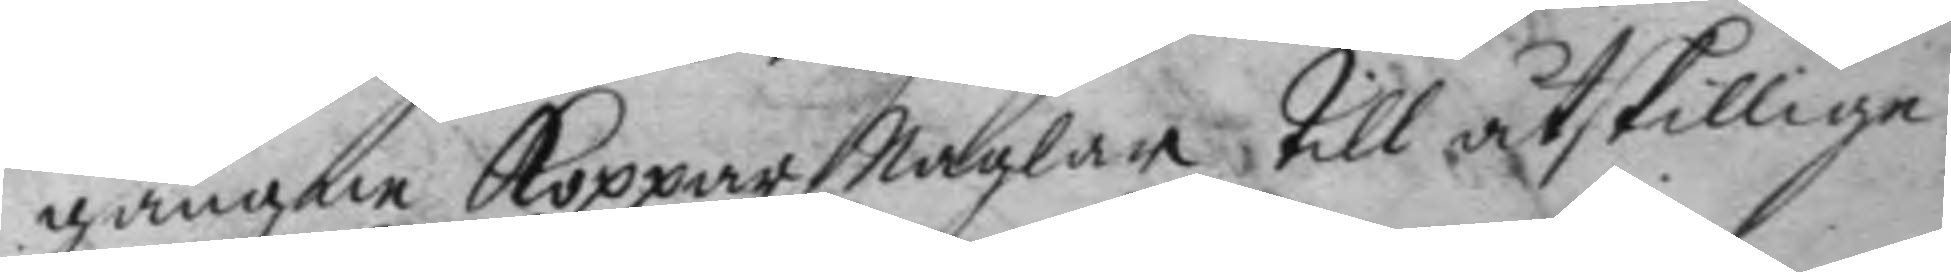gången koppar Naglar Till åtskillige
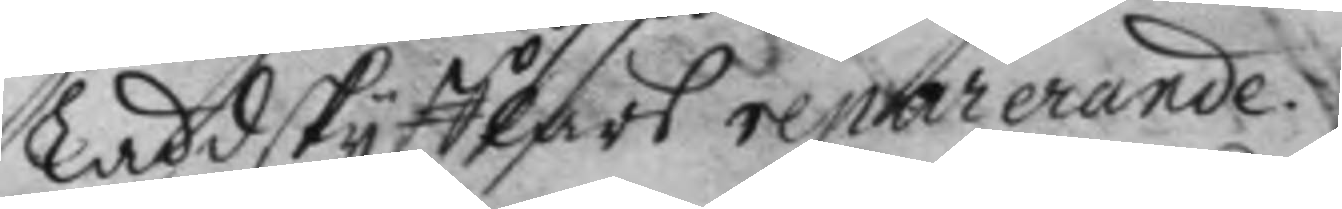Laddskyfflars reparerande.
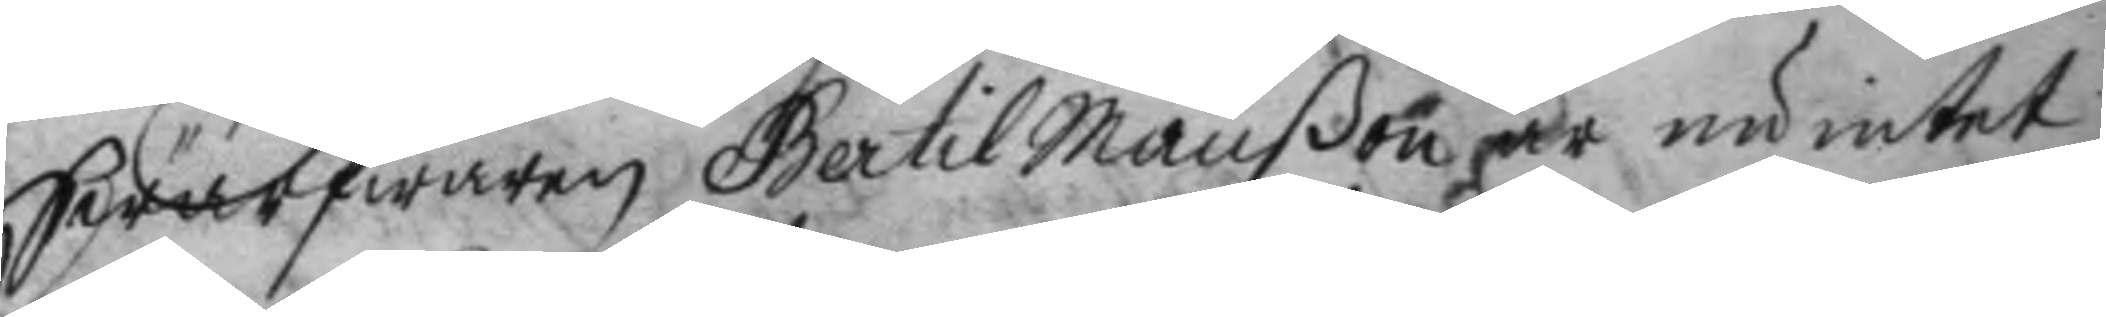Swarfwaren Bertil Månßon är nu intet
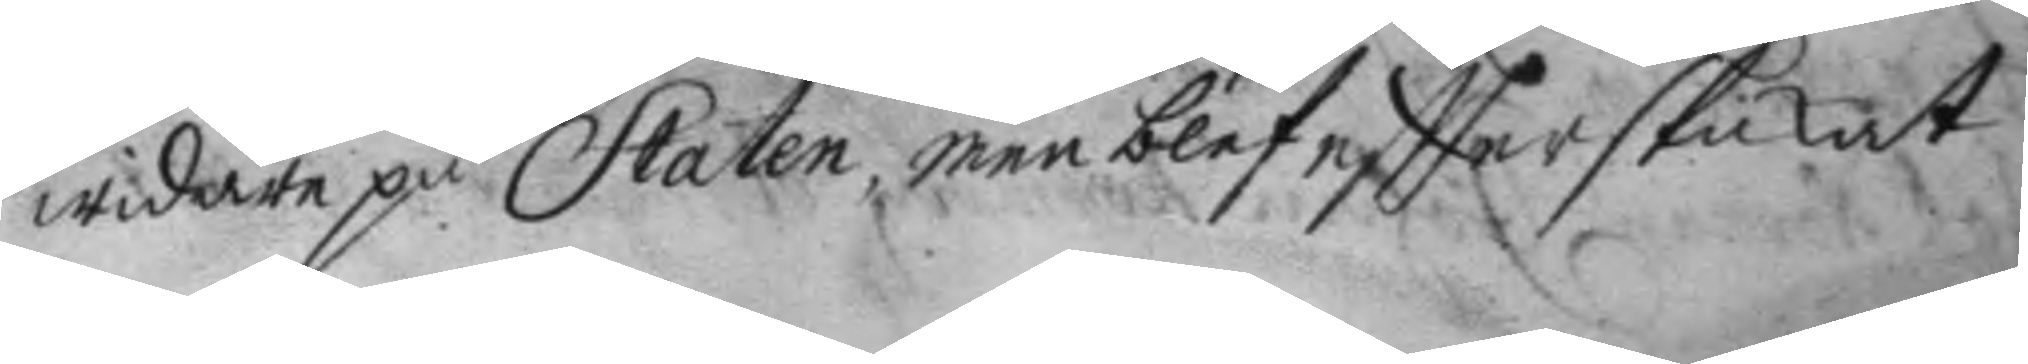widare på Staten, men blef eftter skickat
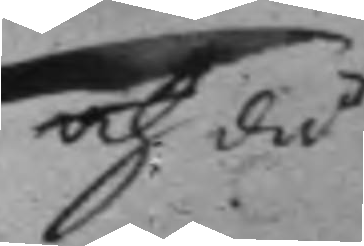och då
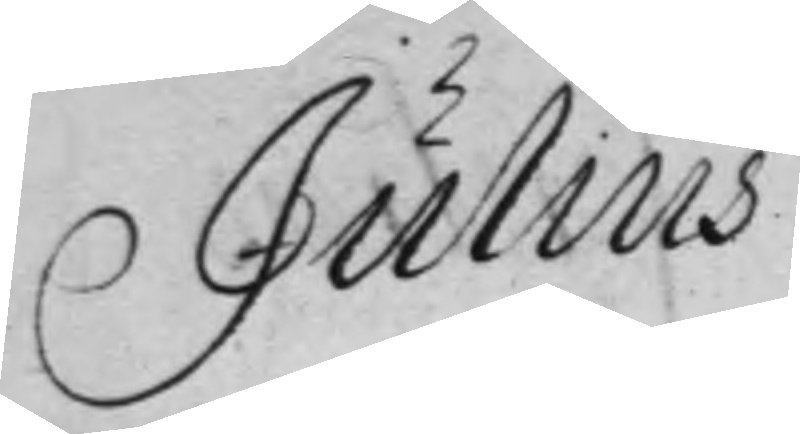Julius
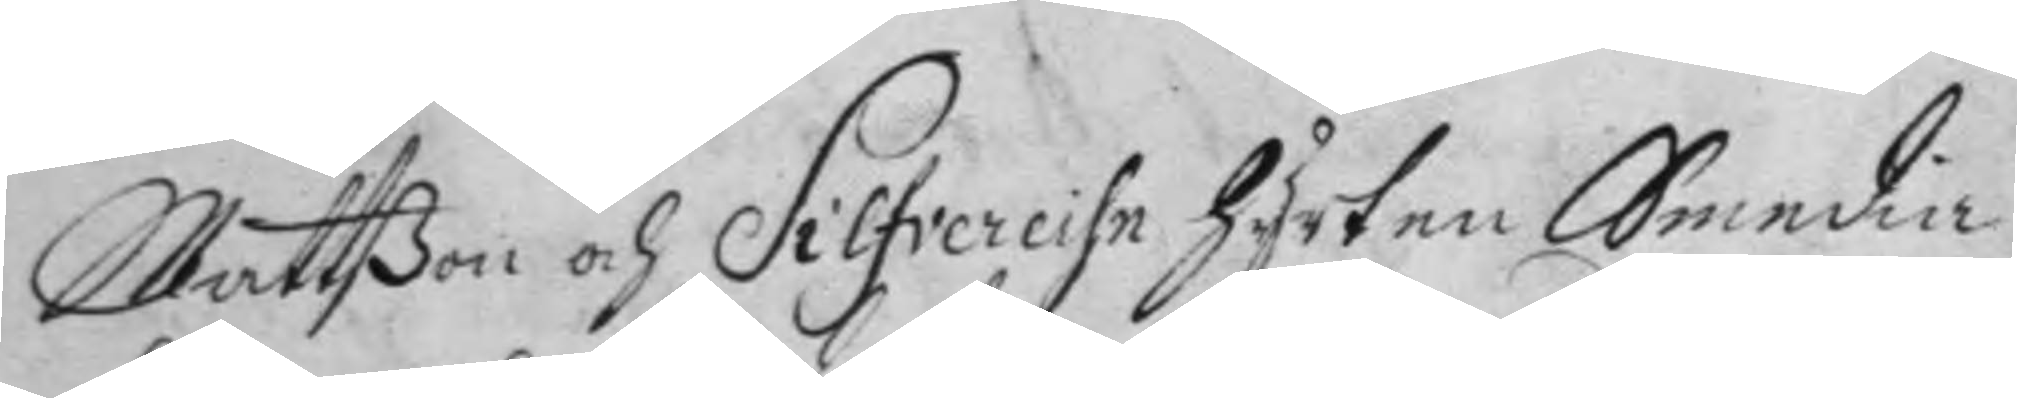Mattßon och Silfvereihn Hyrten Smedia
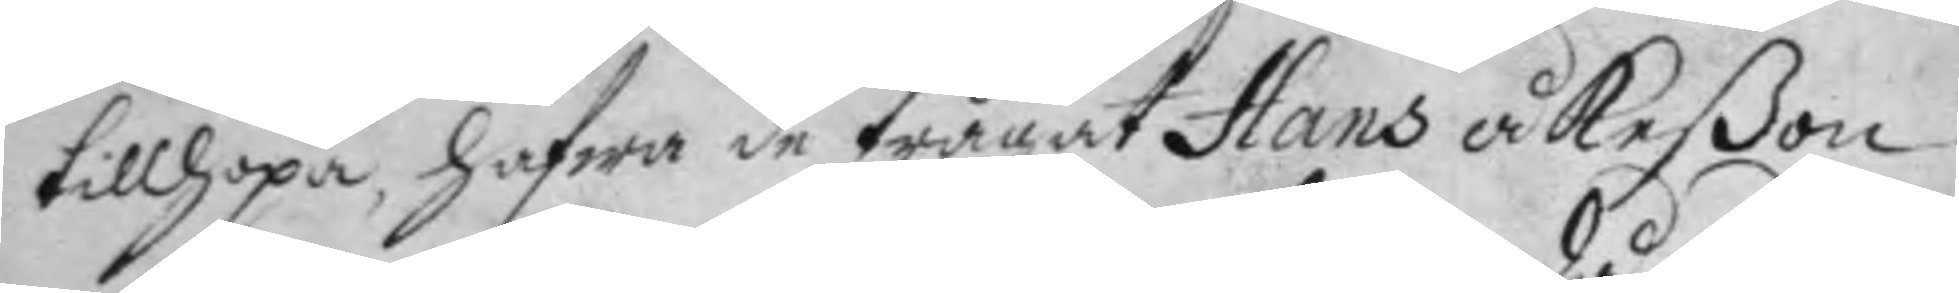tillhopa, hafwa de frågat Hans Åkeßon
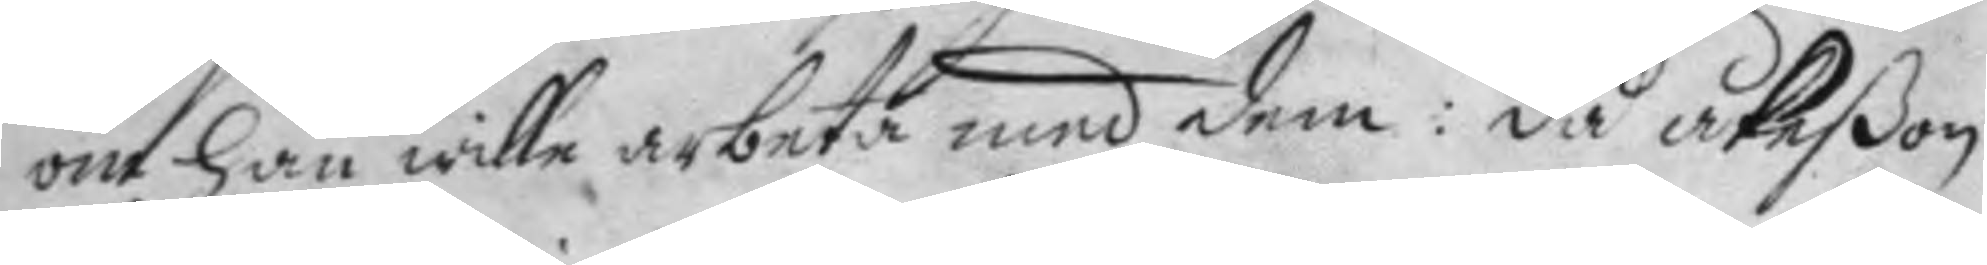om han wille arbeta med dem: då Åkeßon
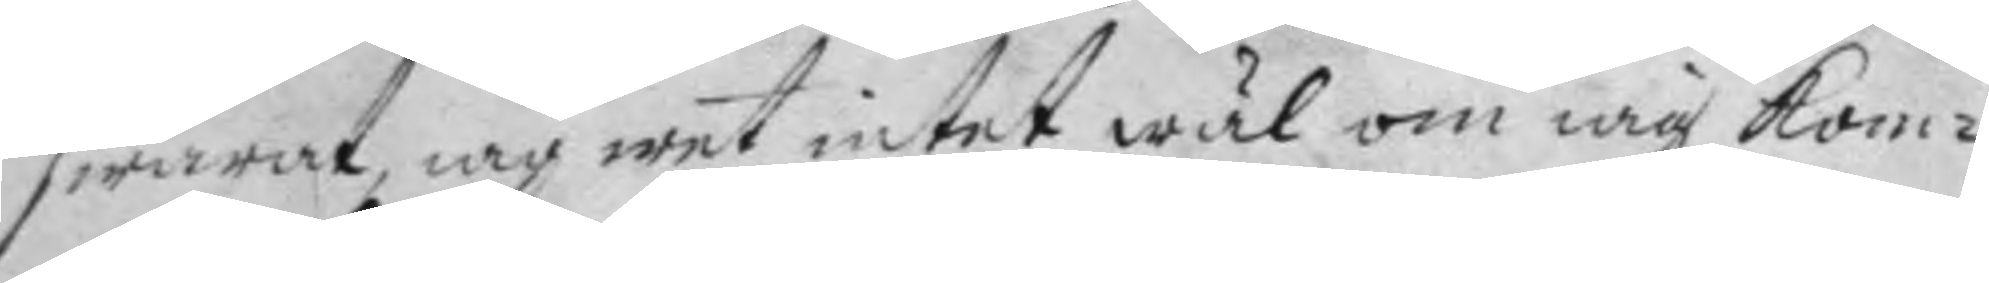swarat, iag wet intet wäl om iag kom¬
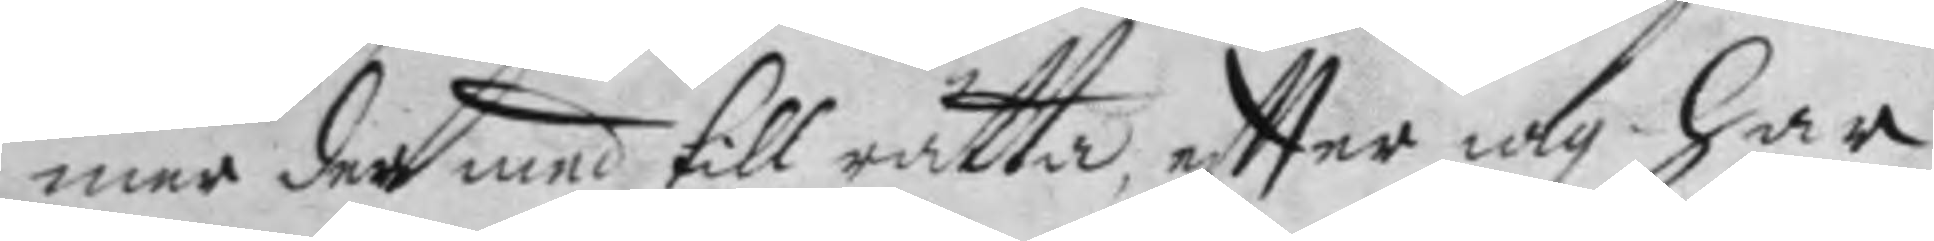mer der med till rätta, eftter iag har
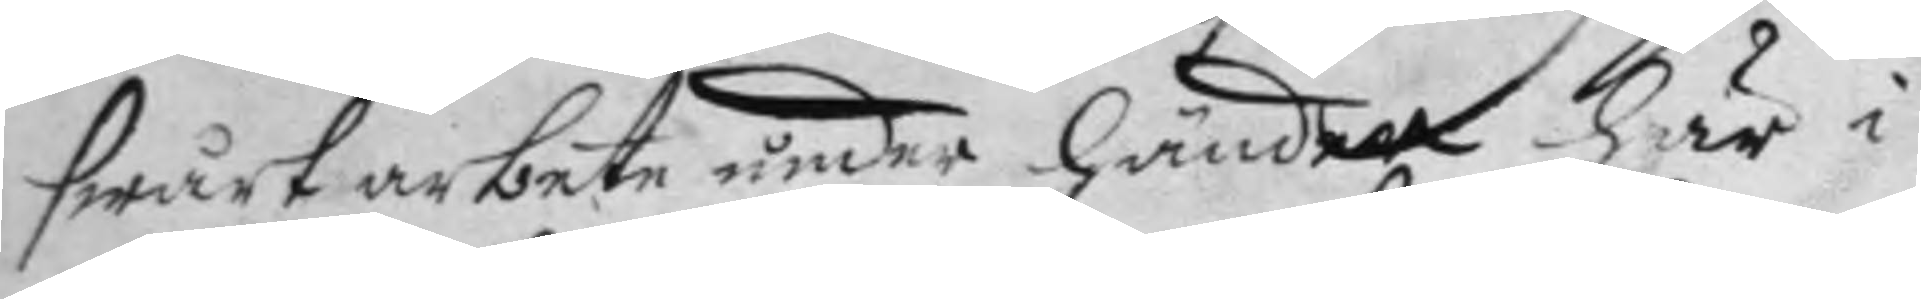swårt arbete under händer här i
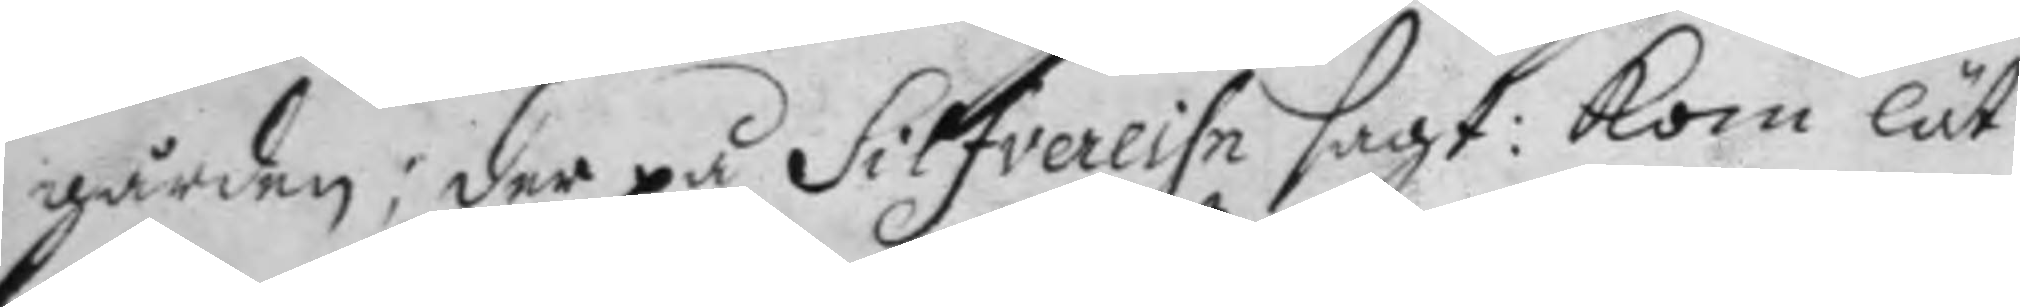gården; der på Silfvereihn sagt: Kom lät
